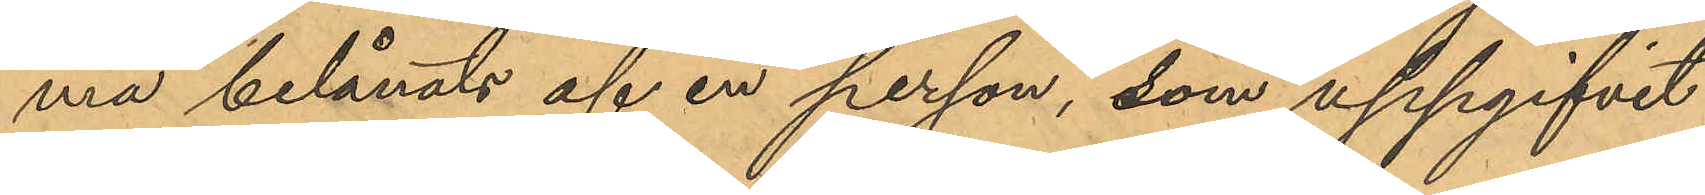ma belånats af en person, som uppgifvit
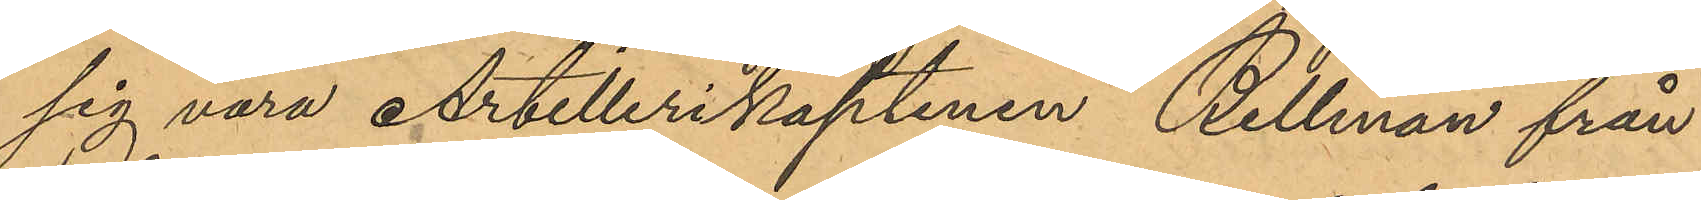sig vara Artillerikaptenen Bellman från
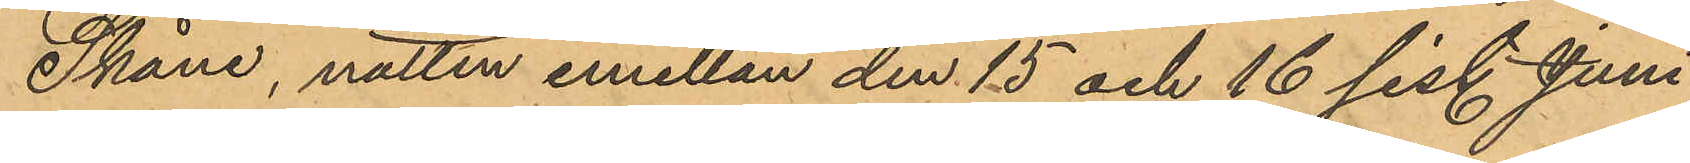Skåne, natten emellan den 15 och 16 sist. Juni
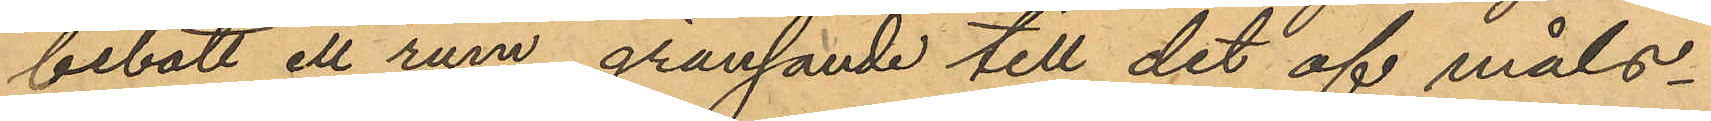bebott ett rum, gränsande till det af måls¬
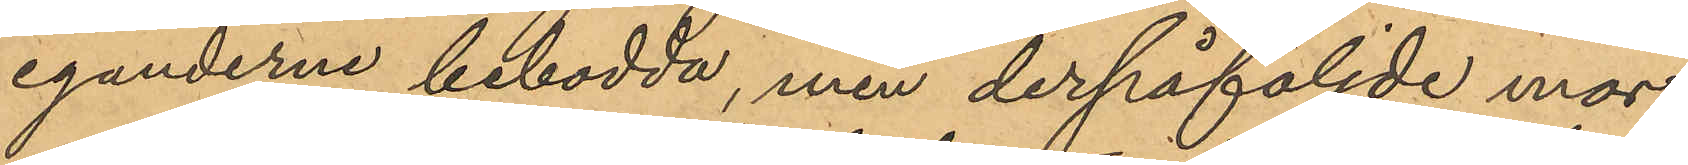eganderne bebodda, men derpåföljde mor¬
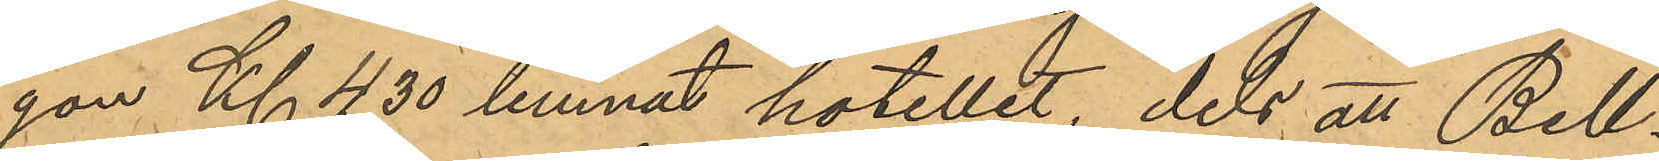gon Kl 4,30 lemnat hotellet, dels att Bell¬
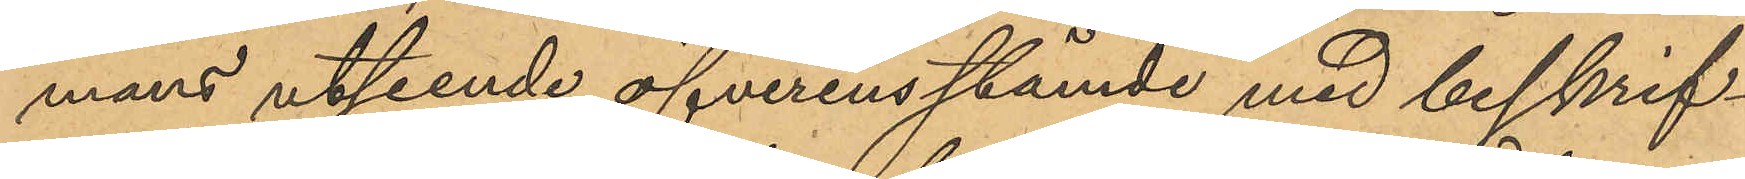mans utseende öfverensstämde med beskrif¬
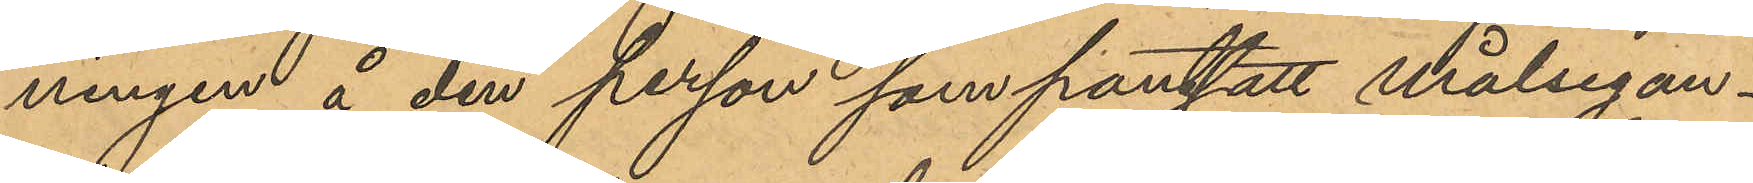ningen å den person som pantsatt målsegan¬
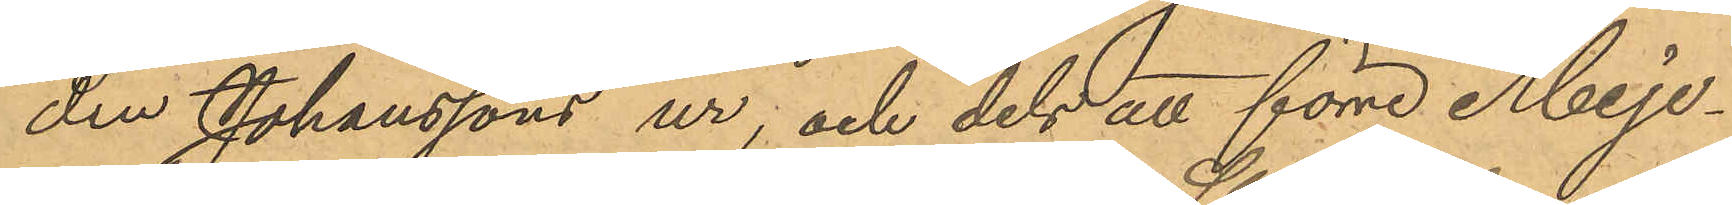den Johanssons ur; och dels att förre Meje¬
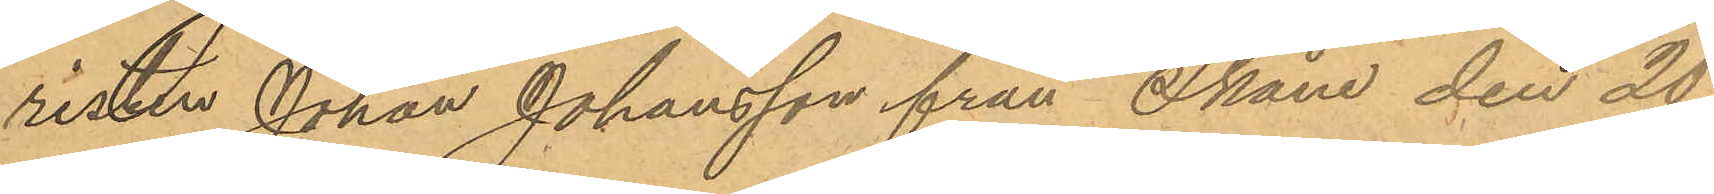risten Johan Johansson från Skåne den 20
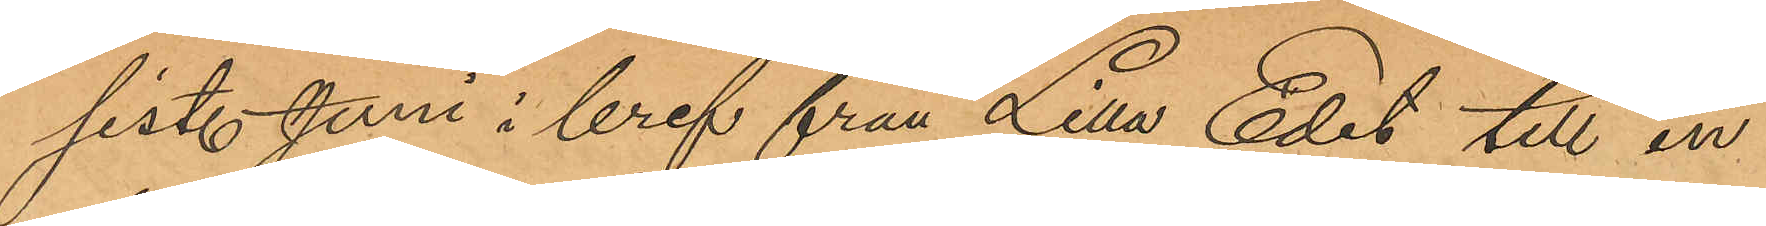sistl. Juni i bref från Lilla Edet till en
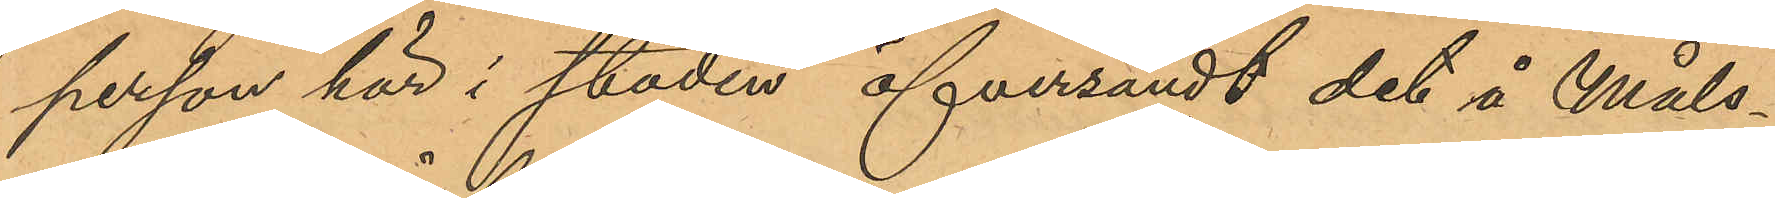person här i staden öfversändt det å Måls¬
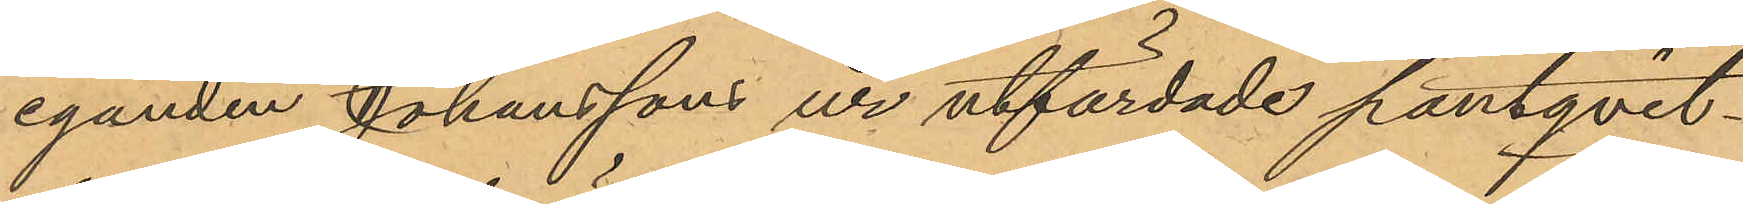eganden Johanssons ur utfärdade pantqvit¬
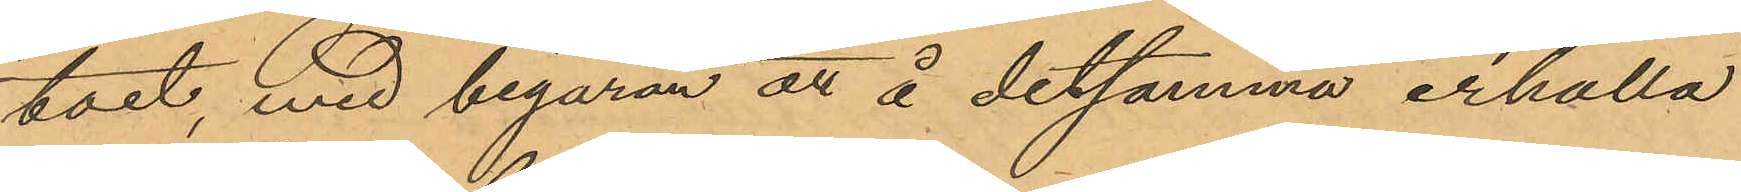toet, med begäran att å detsamma erhålla
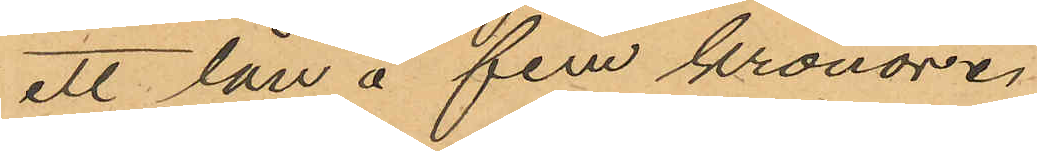att lån å fem kronor.
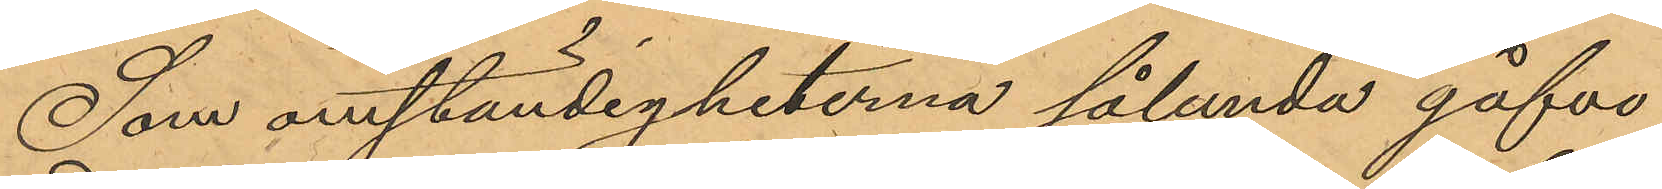Som omständigheterna sålunda gåfvo
